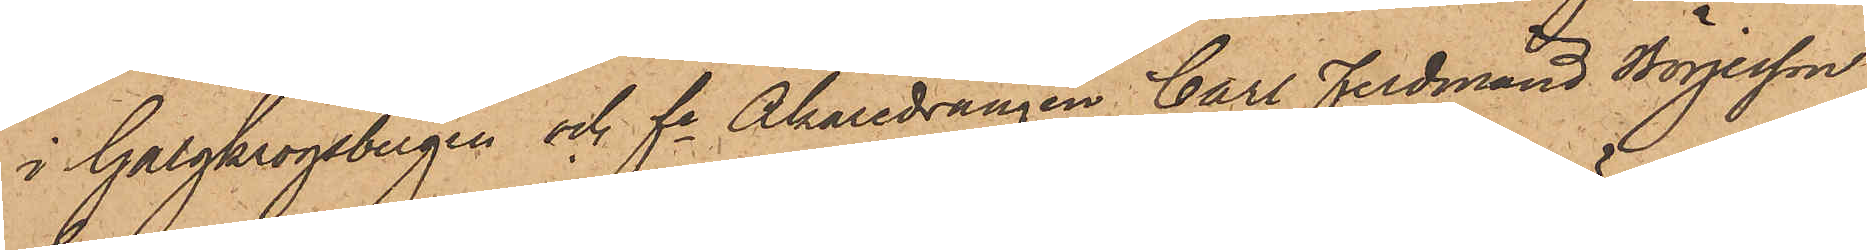i Galgkrogsbergen och fe Åkaredrängen Carl Ferdinand Börjesson
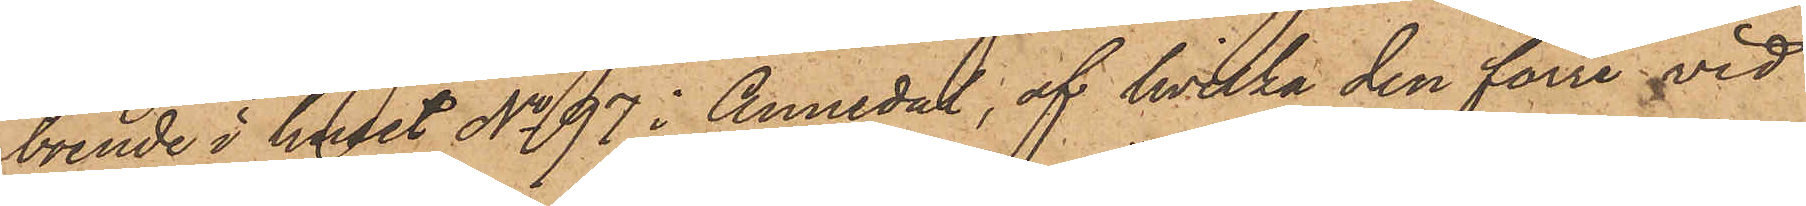boende i huset No 97 i Annedal, af hvilka den förre vid
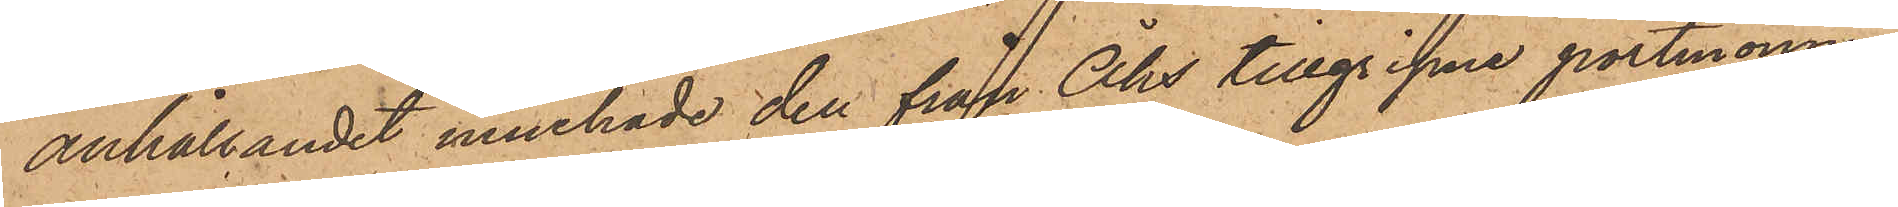anhållandet innehade den från Åhs tillgripne portmonnaien
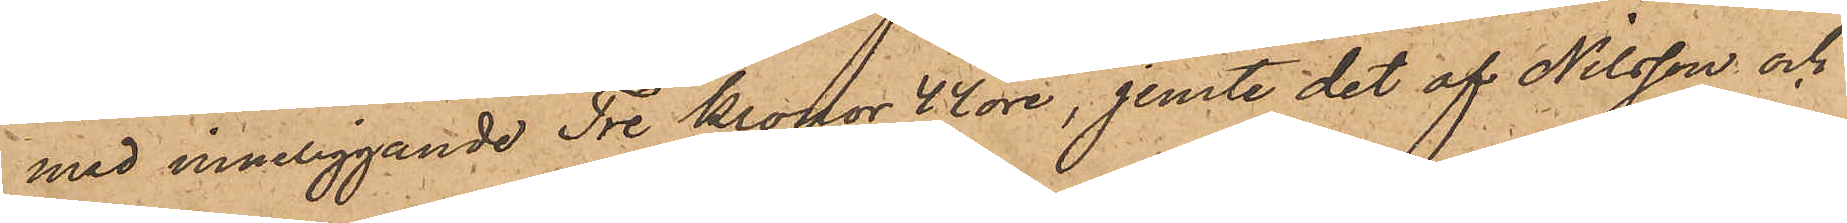med inneliggande Tre Kronor 42 öre, jemte det af Nilsson och
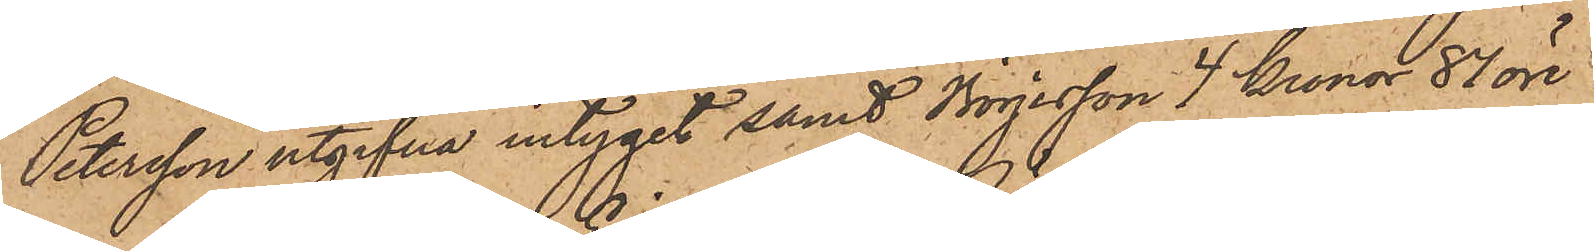Petersson utgifna intyget samt Börjesson 4 Kronor 87 öre.
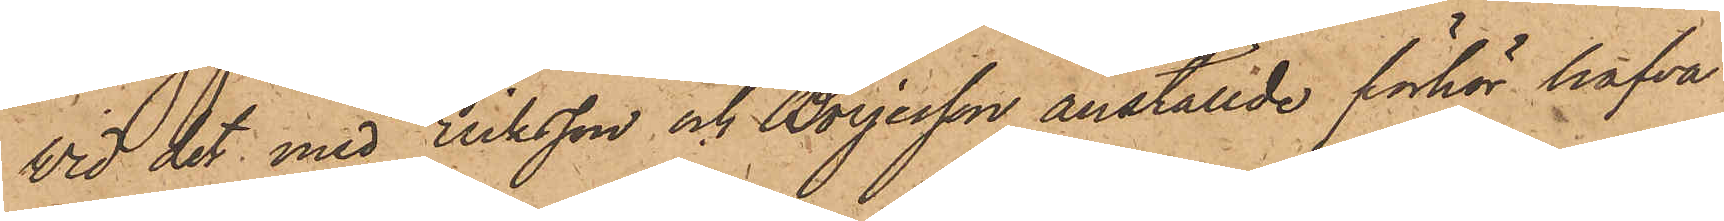Vid det med Eriksson och Börjesson anställde förhör hafva
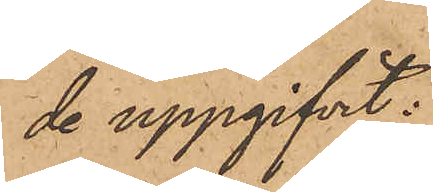de uppgifvit:
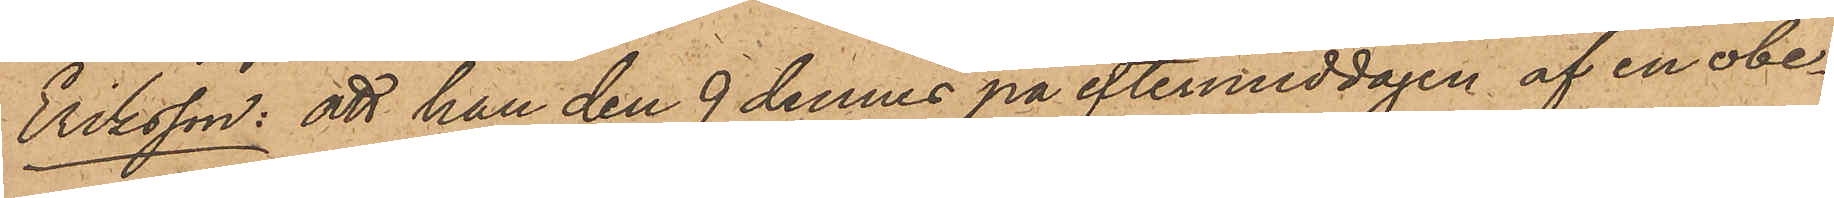Eriksson: att han den 9 dennes på eftermiddagen af en obe¬
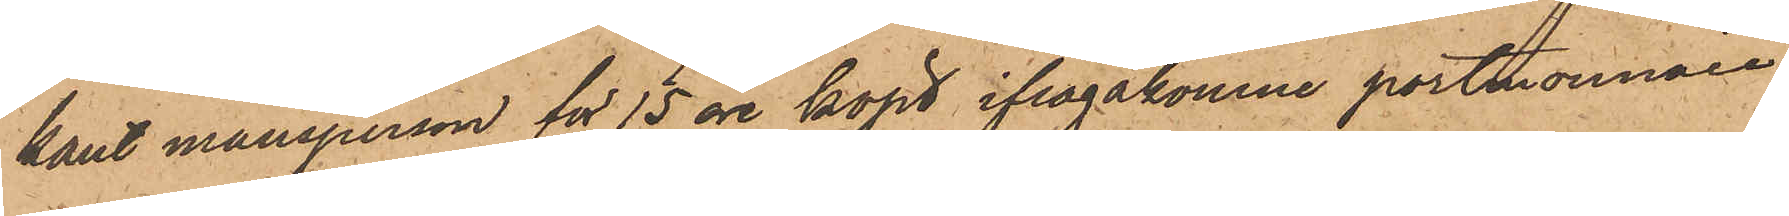kant mansperson för 15 öre köpt ifrågakomne portmonnaie,
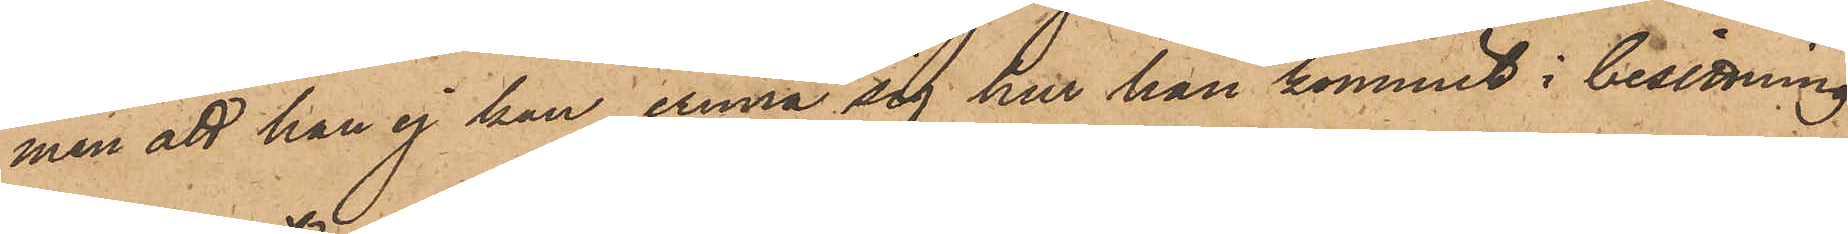men att han ej kan erinra sig hur han kommit i besittning
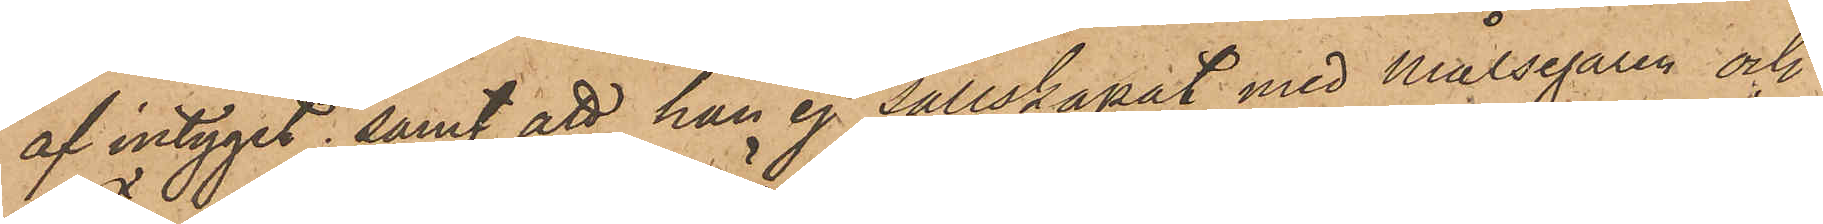af intyget; samt att han ej sällskapat med Målsegaren och
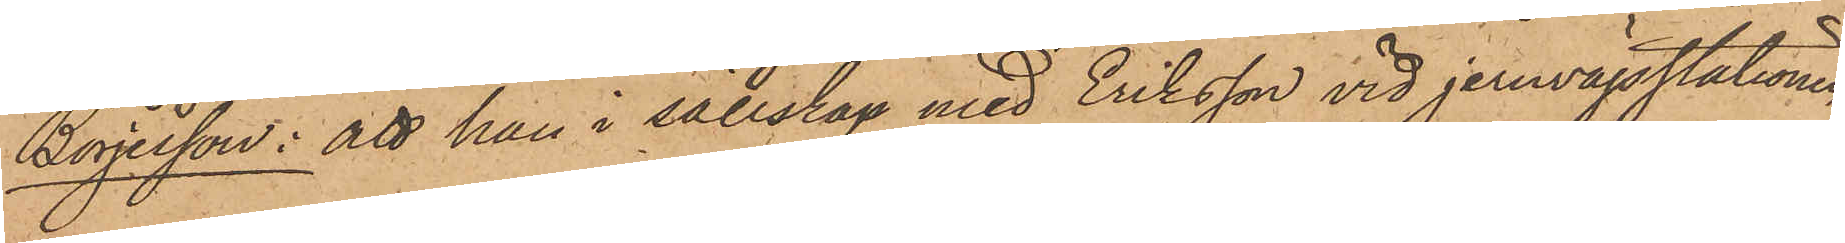Börjesson: att han i sällskap med Eriksson vid jernvägsstationen
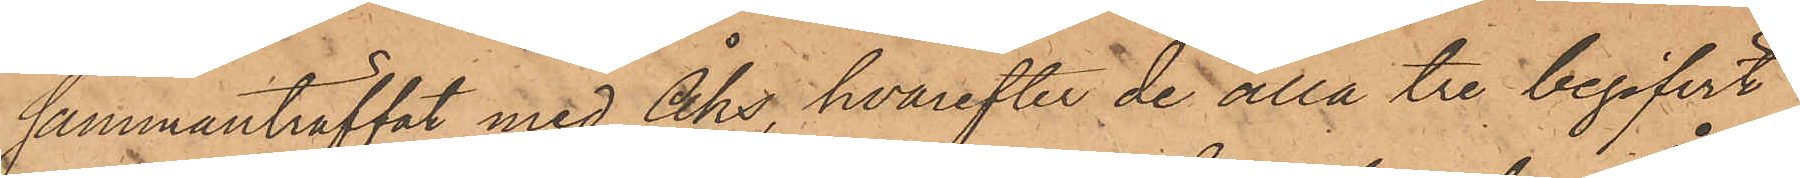sammanträffat med Åhs, hvarefter de alla tre begifvit
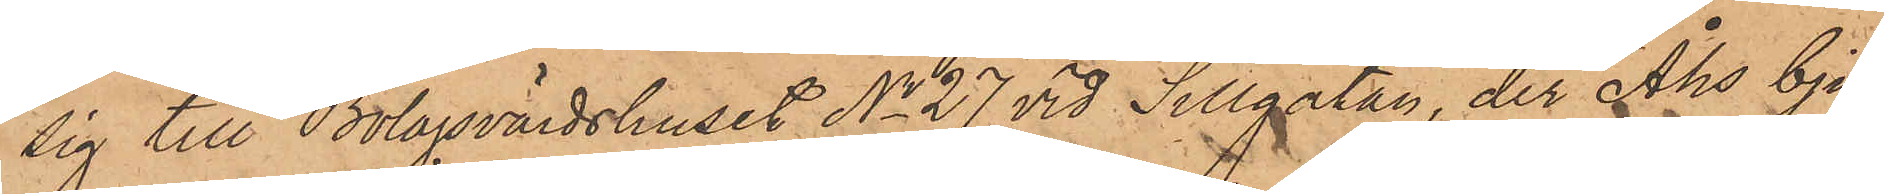sig till Bolagsvärdshuset No 27 vid Sillgatan, der Åhs bju¬
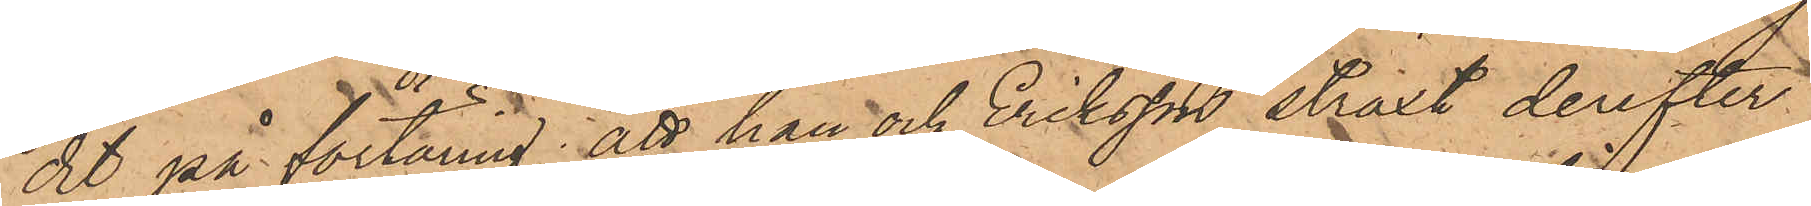dit på förtäring; att han och Eriksson straxt derefter
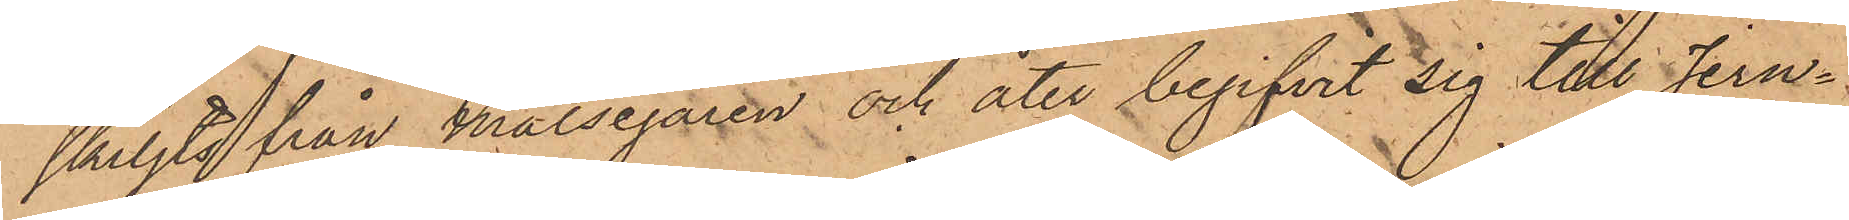skiljts från Målsegaren och åter begifvit sig till Jern¬
